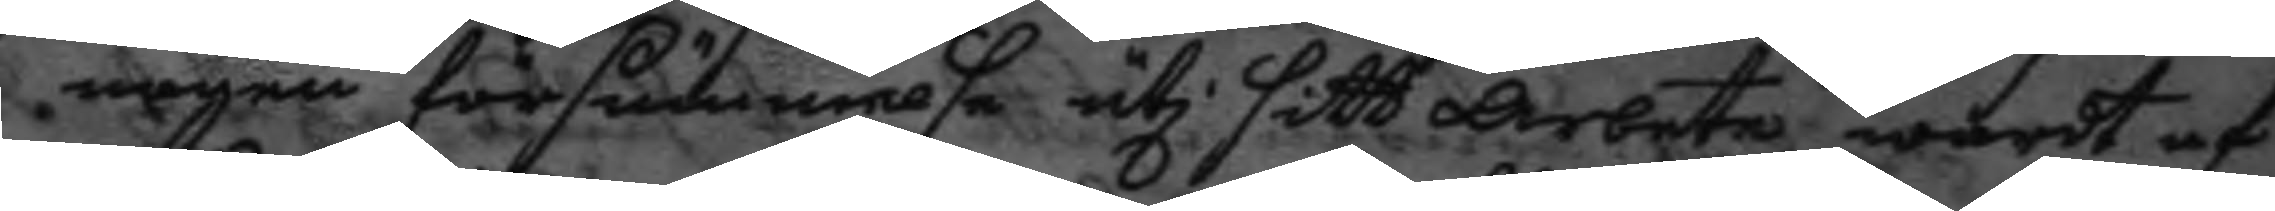någen försummelse uti sitt arbete, wardt af
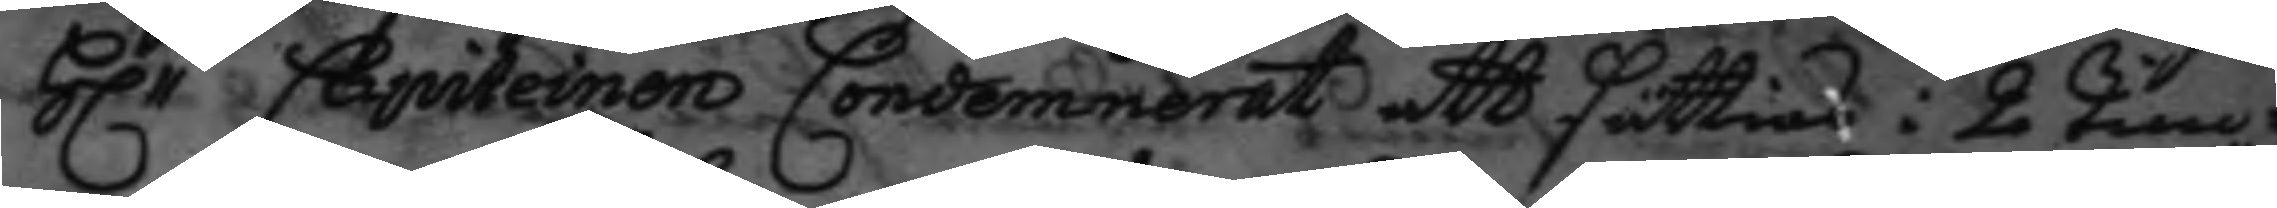H.r Capiteinen Condemnerat att sättias i 2 tim¬ 
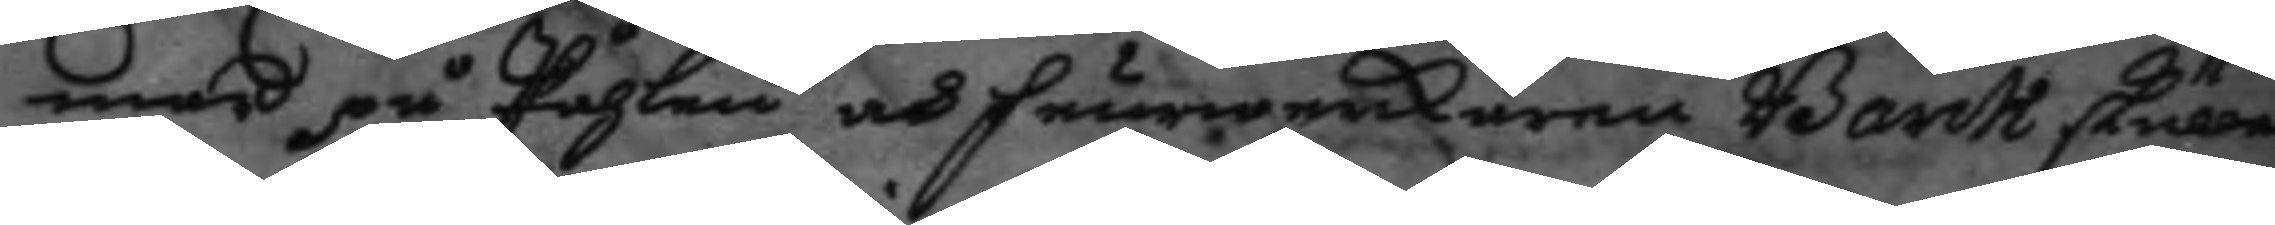mar på Påhlen och feurwerkaren Barck skulle
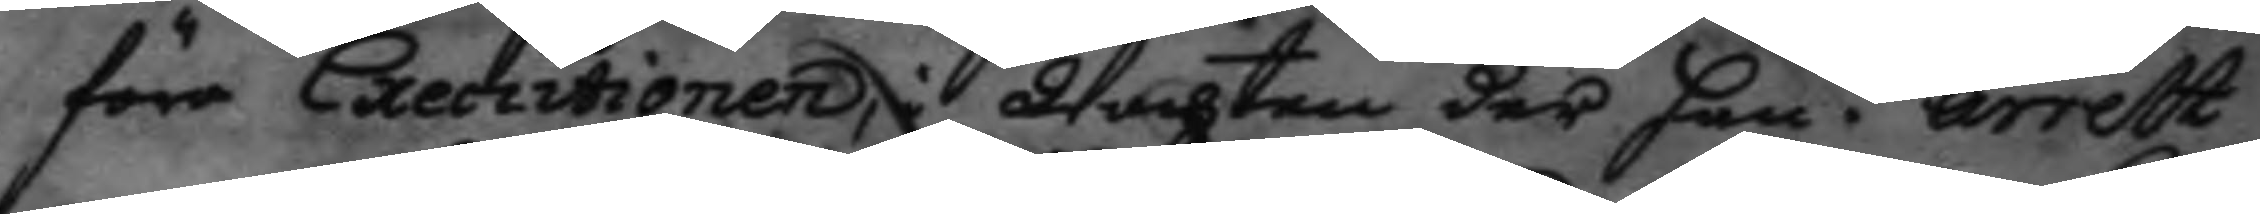före Executionen, i Wachten der han i arrest
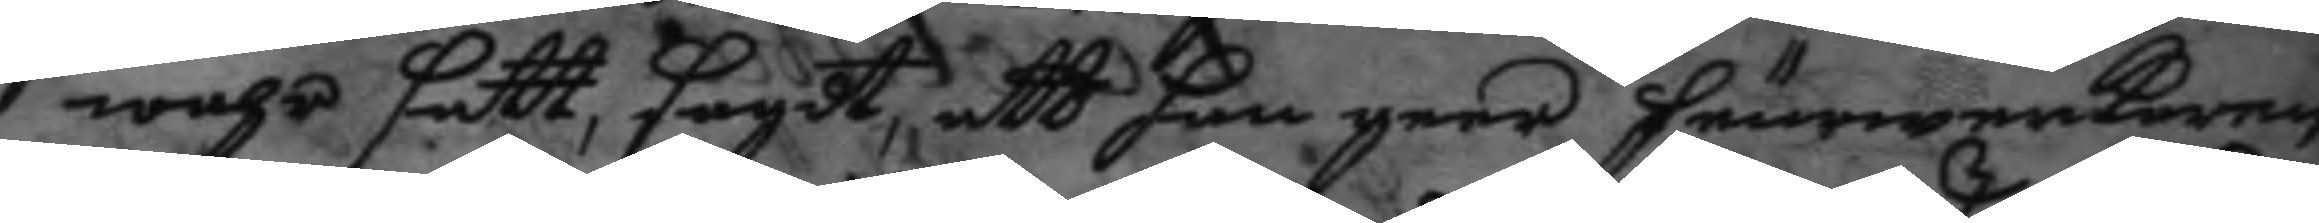wahr satt, sagdt, att han geer feurwerkaren
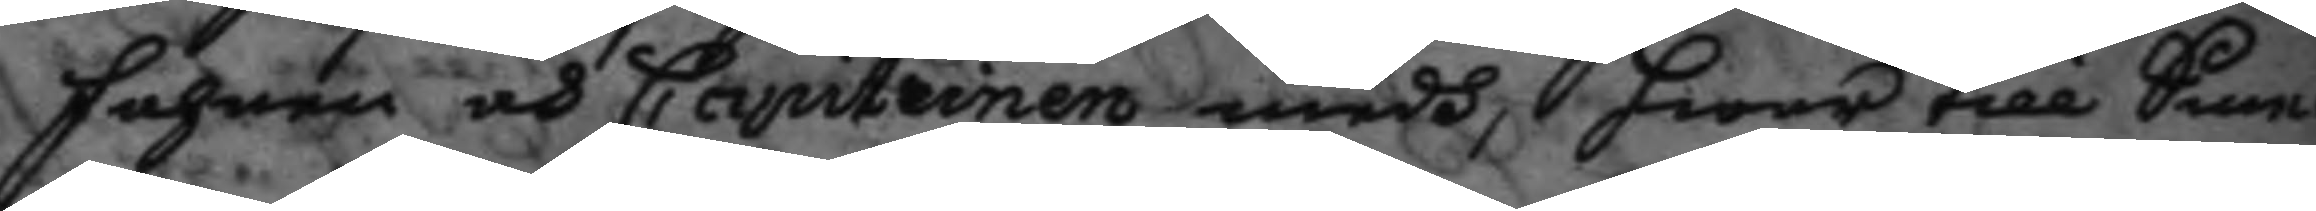fahnen och Capiteinen medh, hwar till Sme¬
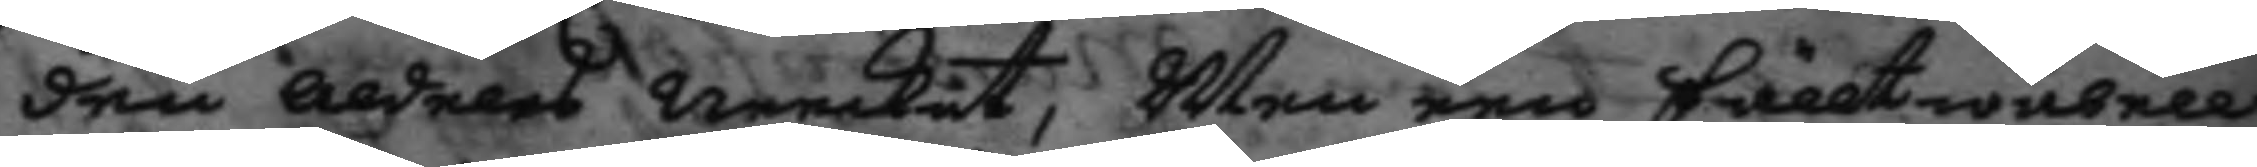den aldeles neekat, Men een Fälltwäbell
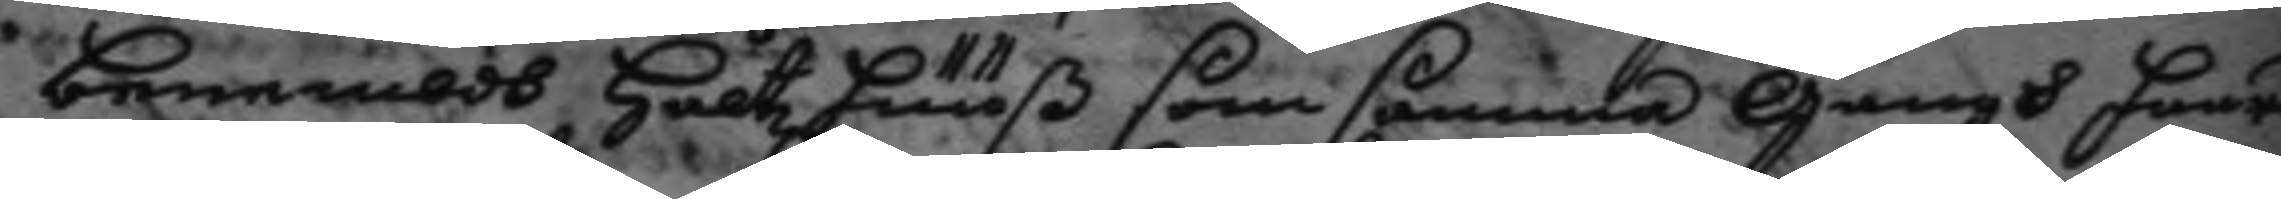benembdh Håltz huuß som samma gångh haar
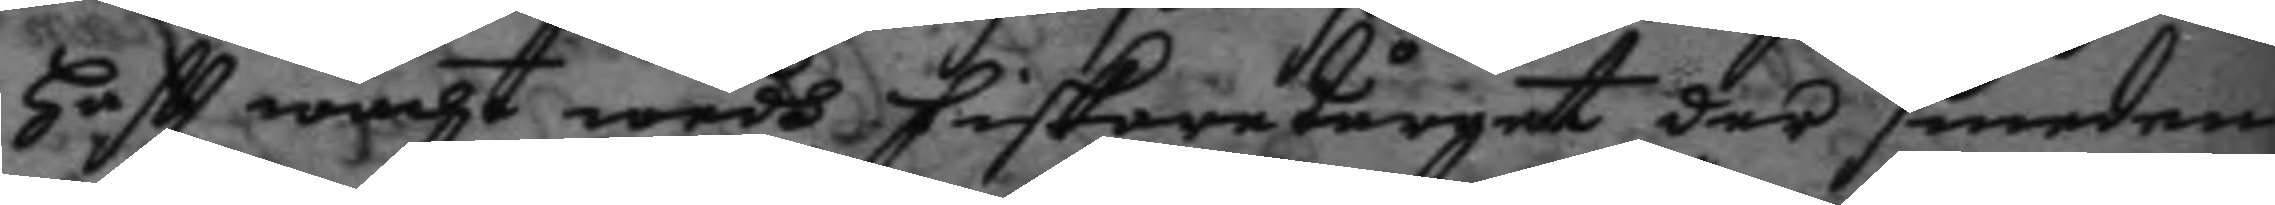haftt wacht wedh fiskare tårget der smeden
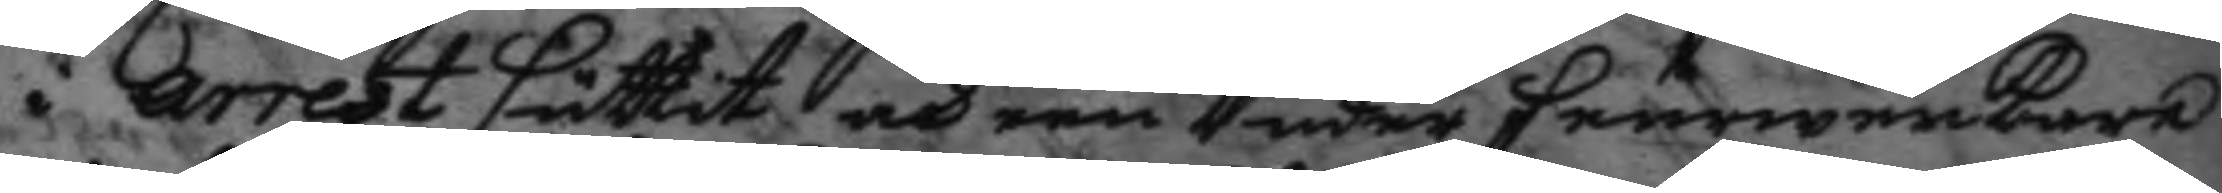i arrest suttit och een Under feurwerkare
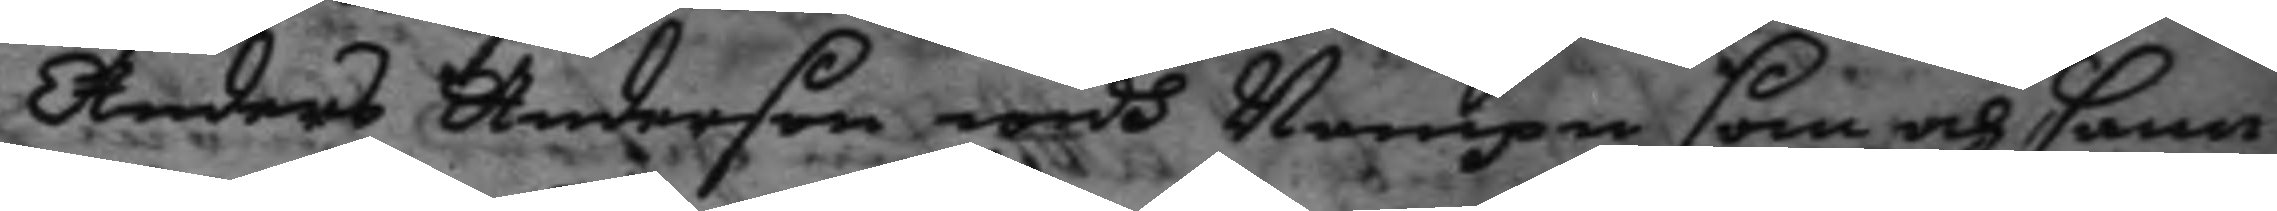Anders Anderson widh Nampn som och sam¬
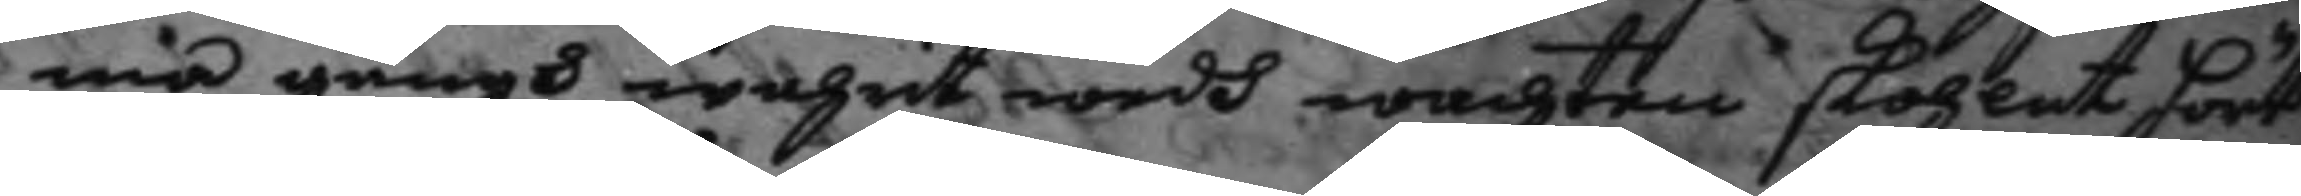ma gångh wahrit wedh wachten skohlat hört
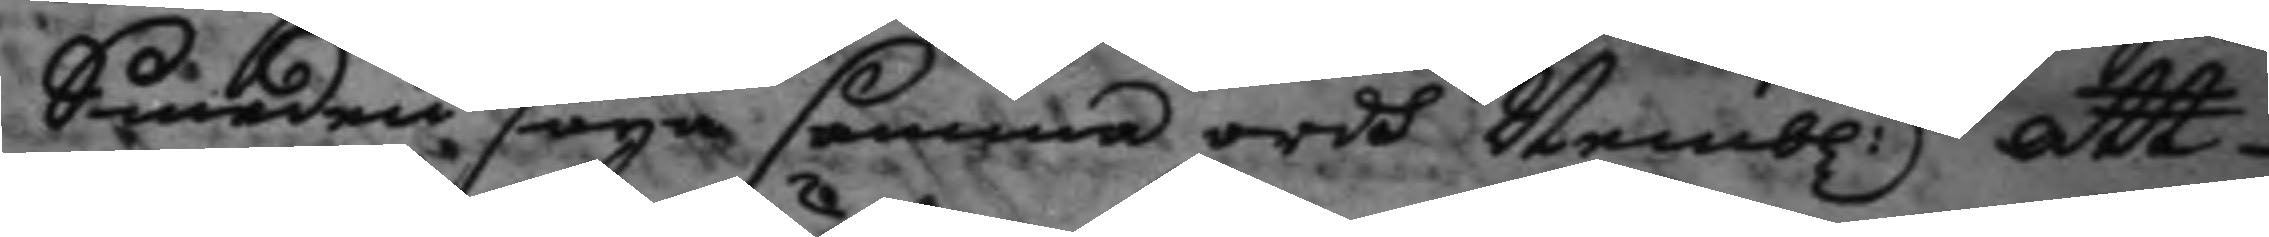Smeden säya samma ordh Nembl.n att 
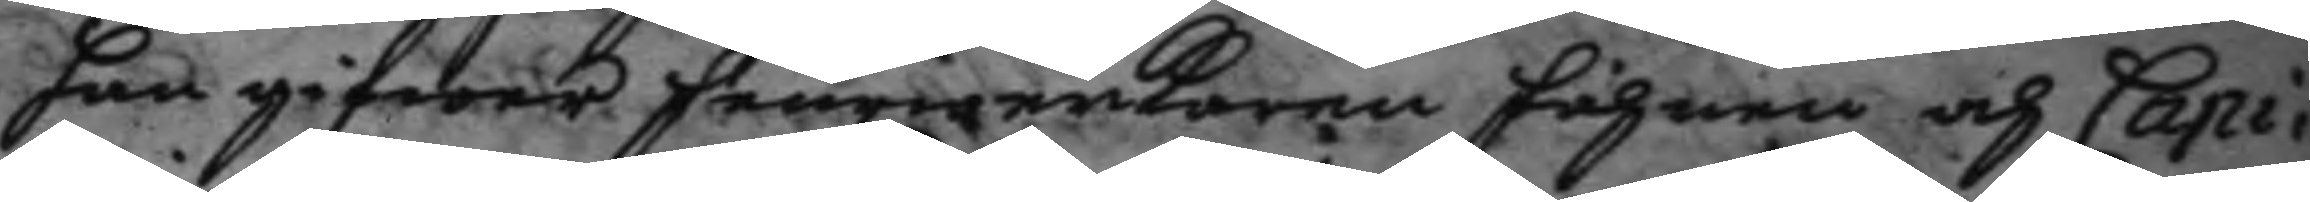han gifwer feurwerkaren fahnen och Capi¬
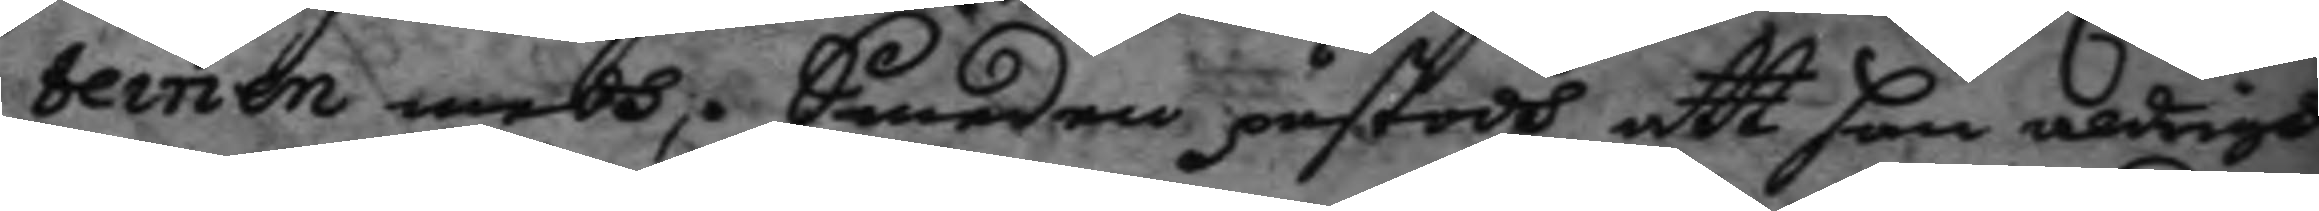teinen medh, Smeden påstodh att han aldrigh
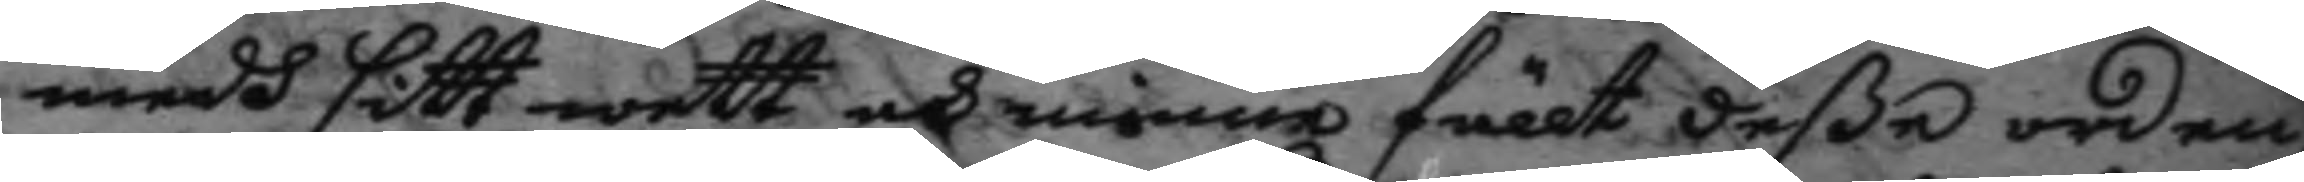medh sitt wett och minne fällt deße orden,
